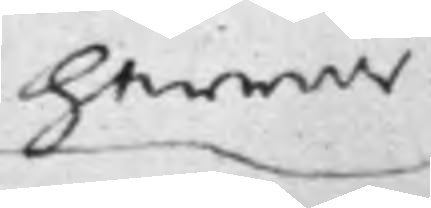herrar
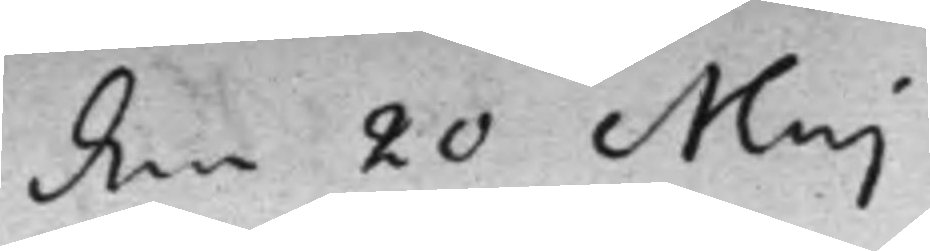den 20 Maj
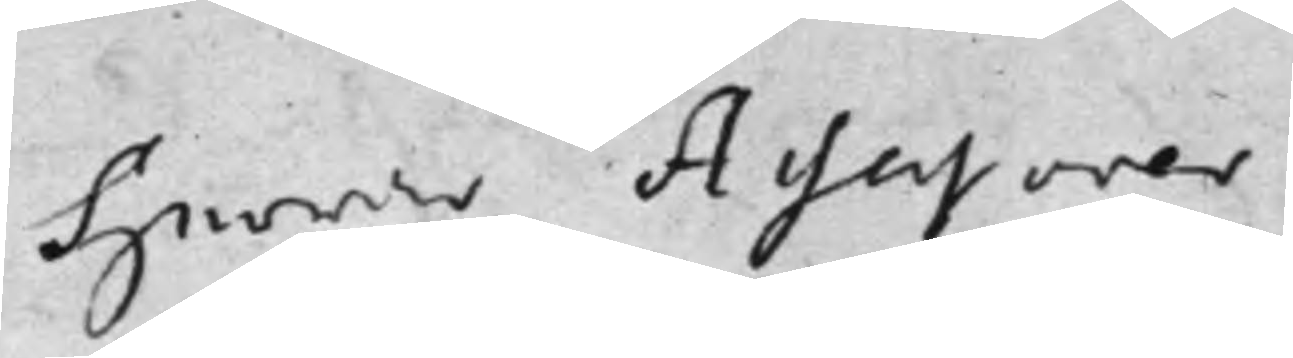Herrar Assessorer
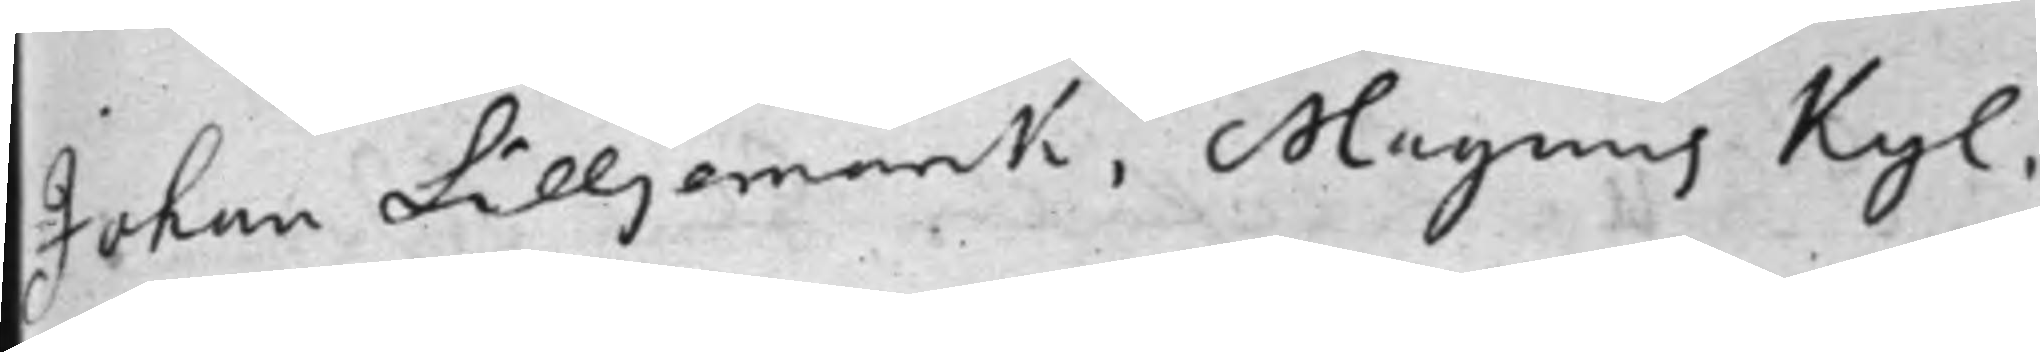Johan Lilljemarck, Magnus Kyl,
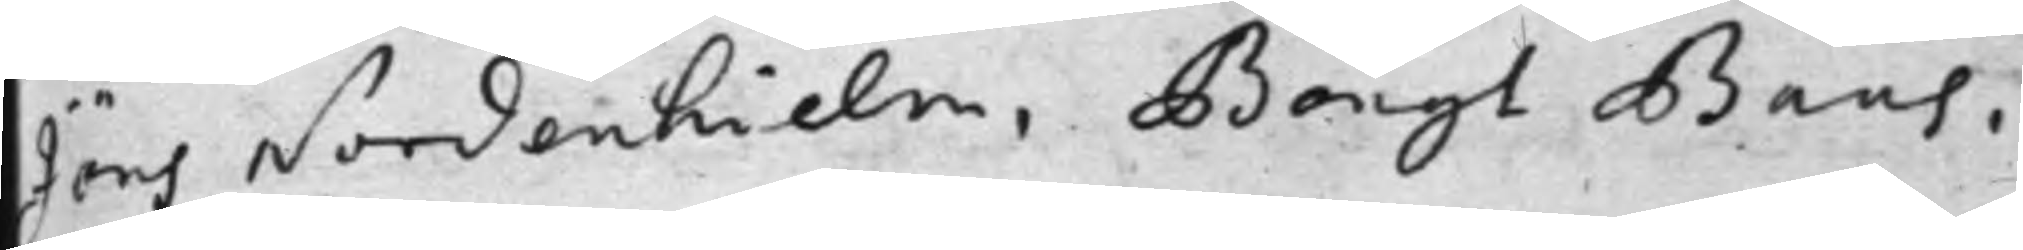Jöns Nordenhielm, Bengt Baas,
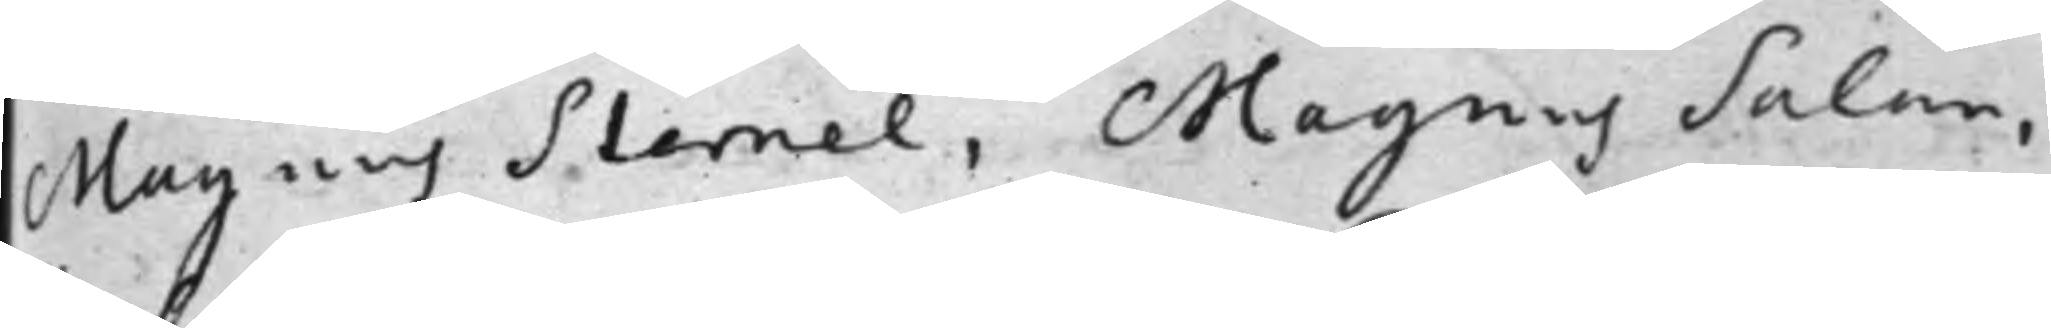Magnus Sternel, Magnus Salan,
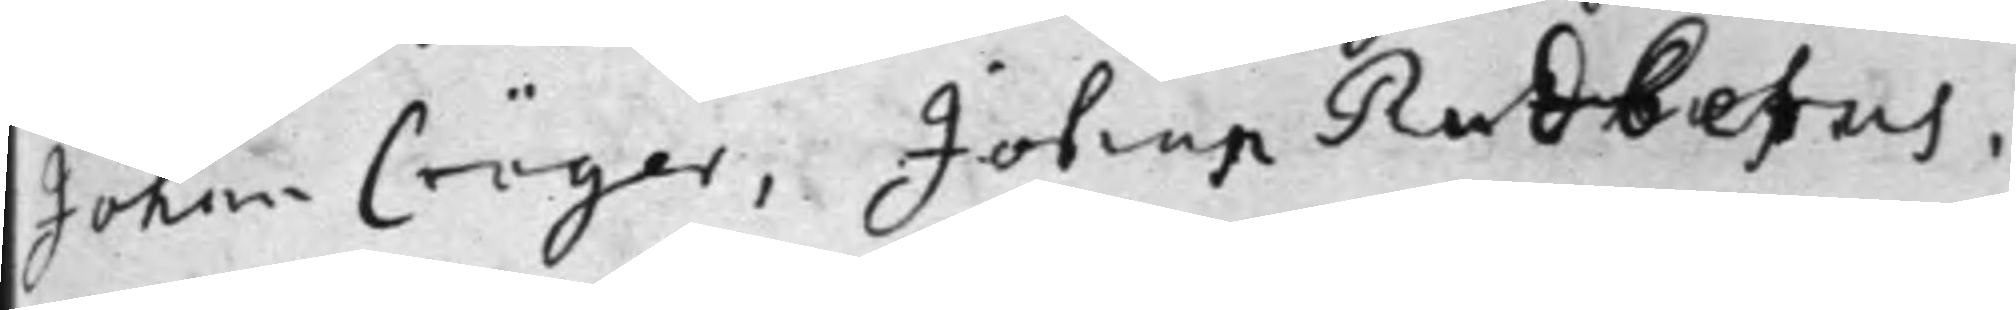Johan Cröger, Johan Rudberus,
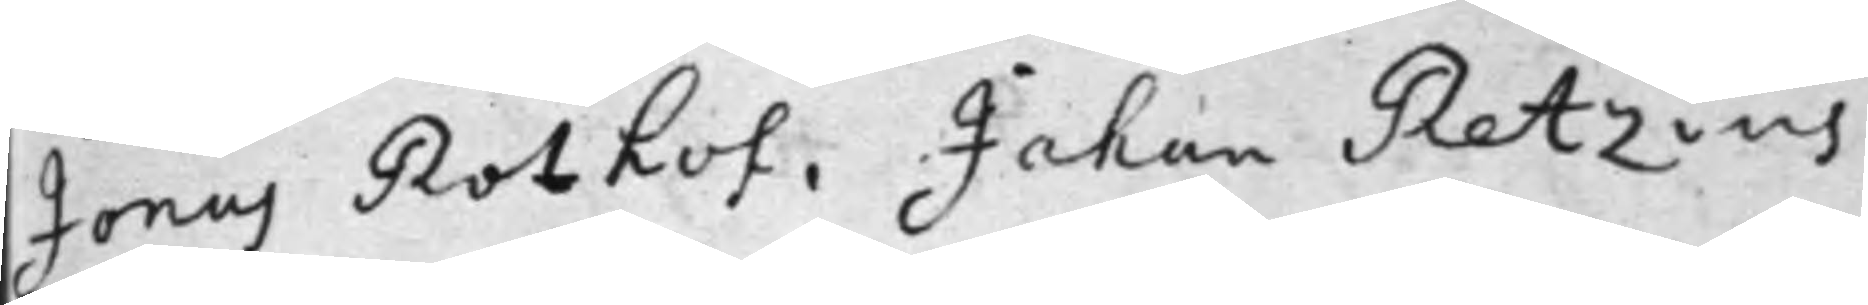Jonas Rothof, Johan Retzius
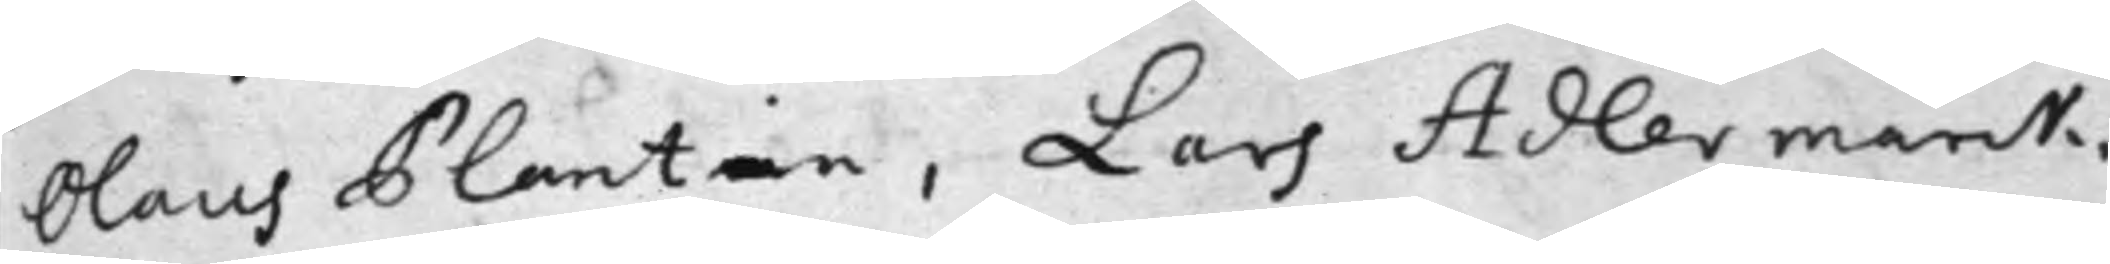Olaus Plantin, Lars Adlermarck,
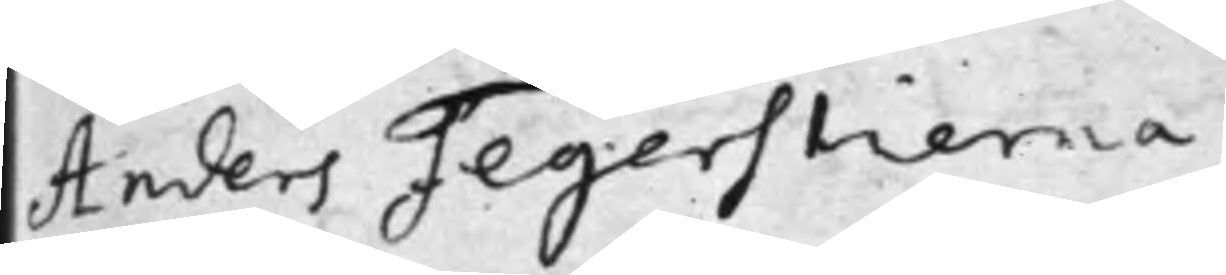Anders Fegerstierna.
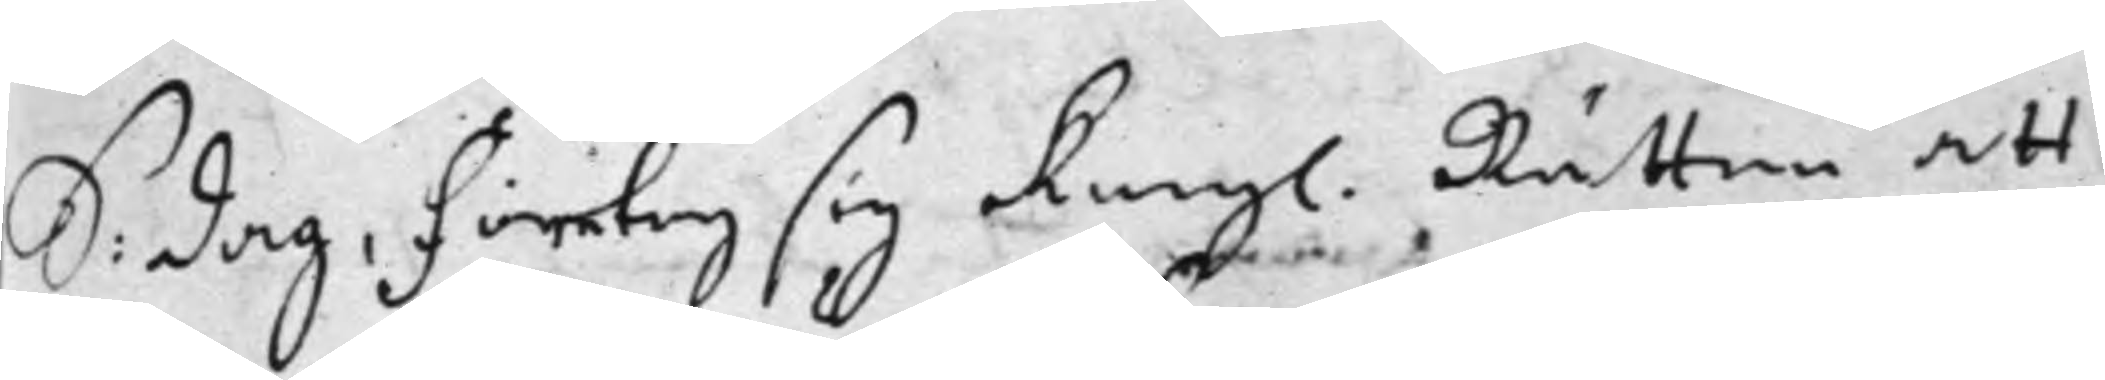S. dag: Företog sig Kongl. Rätten att
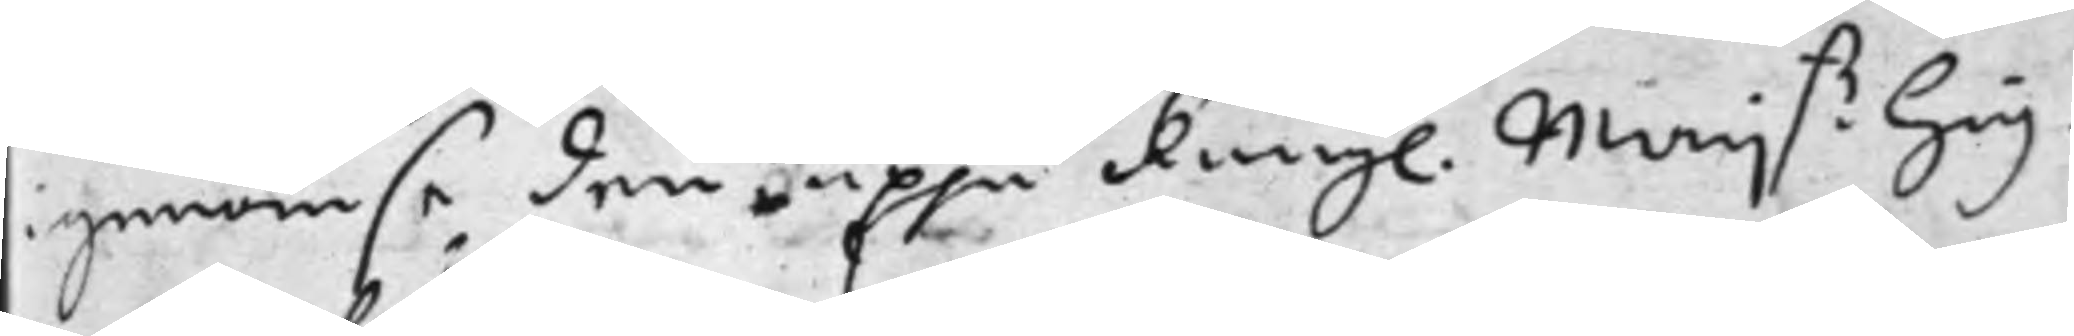igenomse den uppå Kongl. Maij.tz Hög¬
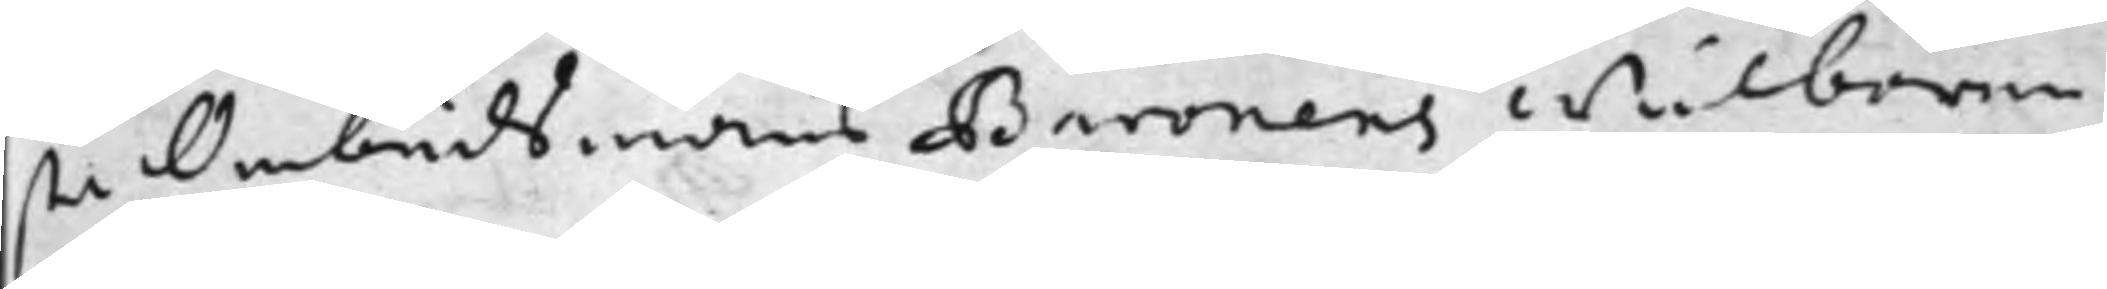sta Ombudsmans Baronens Wälborne
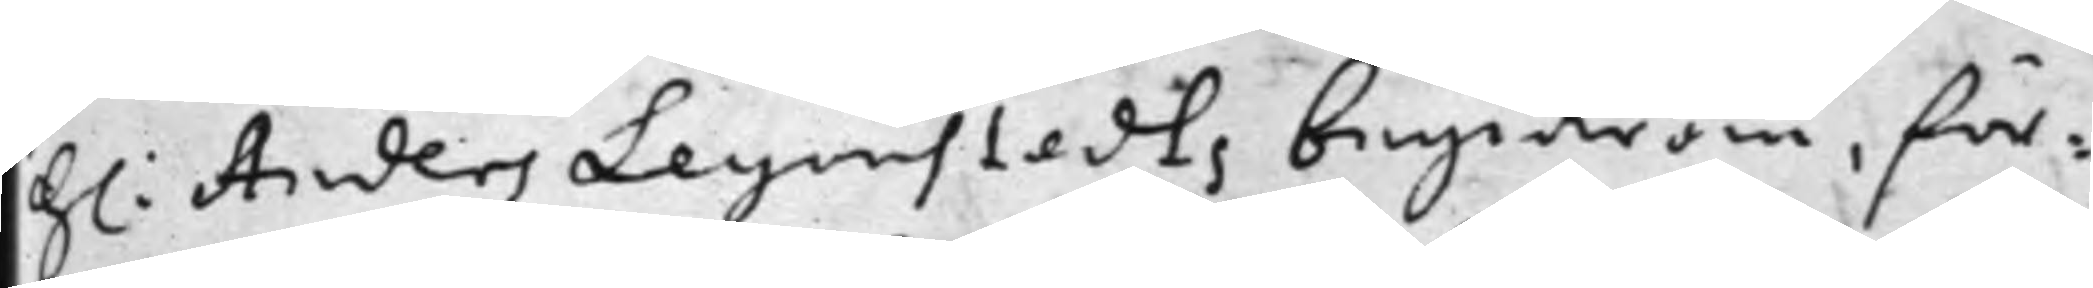h: Anders Leyonstedts begiäran, för¬
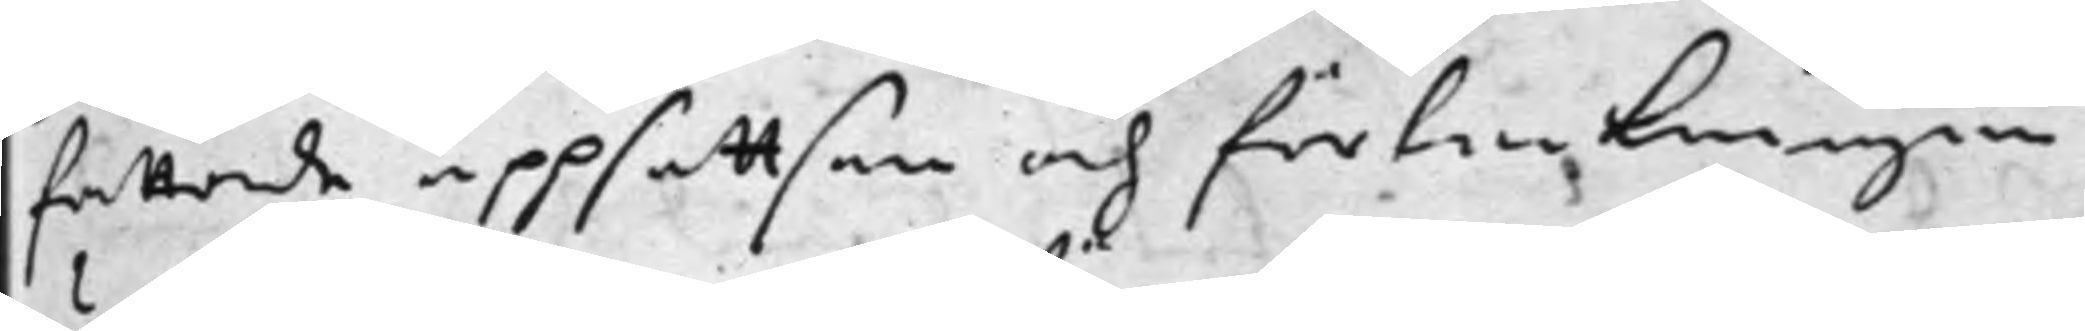fattade uppsattsen och förteckningen
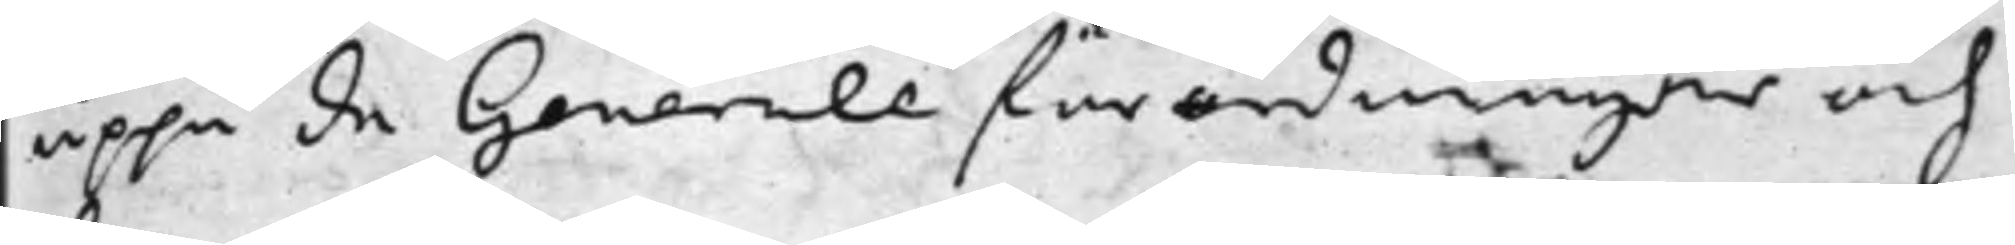uppå de Generale förordningar och
